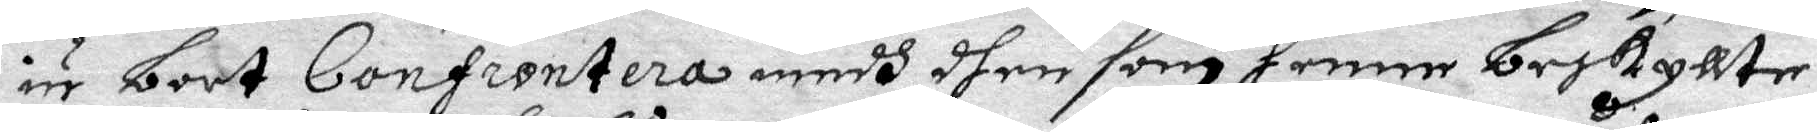nu bort Confrontera medh dhen som henne beskyllte.
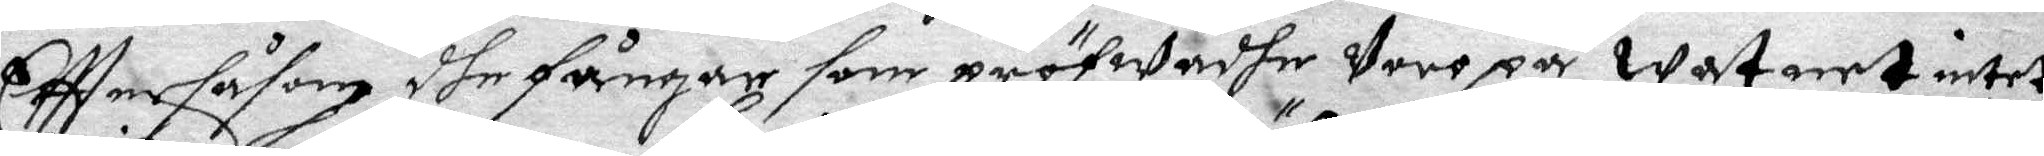Eftter såsom dhe fångar som pröfwadhe Vore på watnet intet
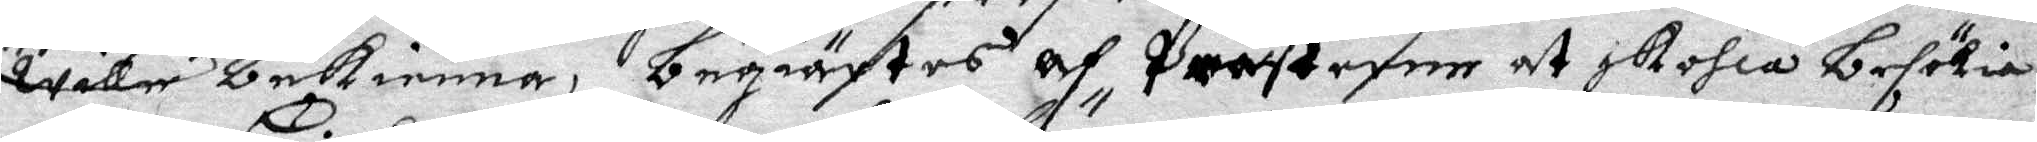wille bekienna, begiärtes af Prästerne at skohla besökia
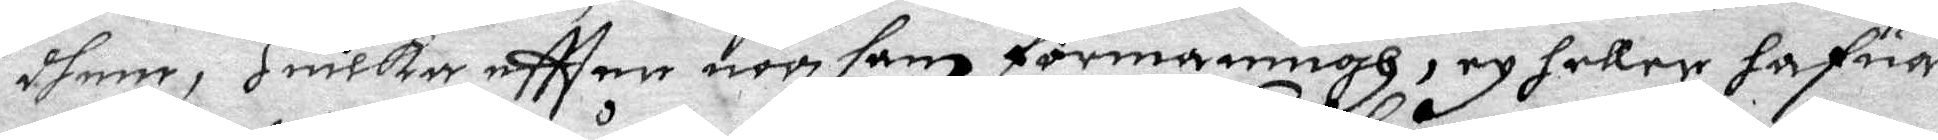dhem, Huilke eftter nog sam förmaningh, ey heller hafua
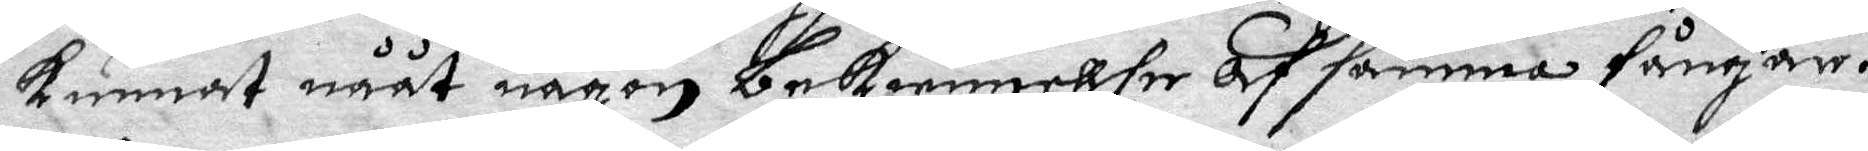kunnat nååt någon bekiennelse af samma fångar.
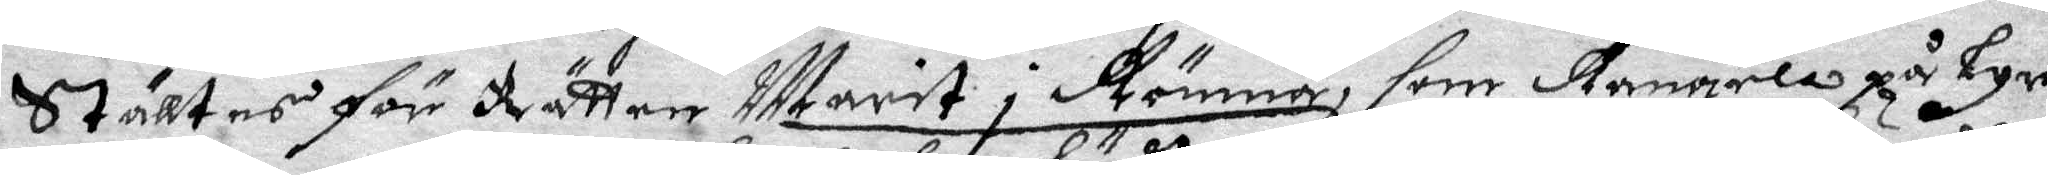Ställtes för Rätten Marit i Rönna, som Rangela på Lyre
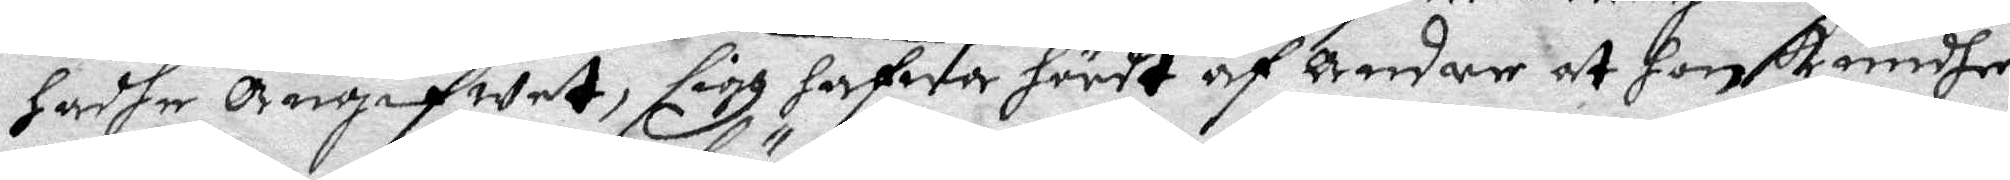hadhe Angifwet, sigh hafwa hördt af Andre at Hon kundhe
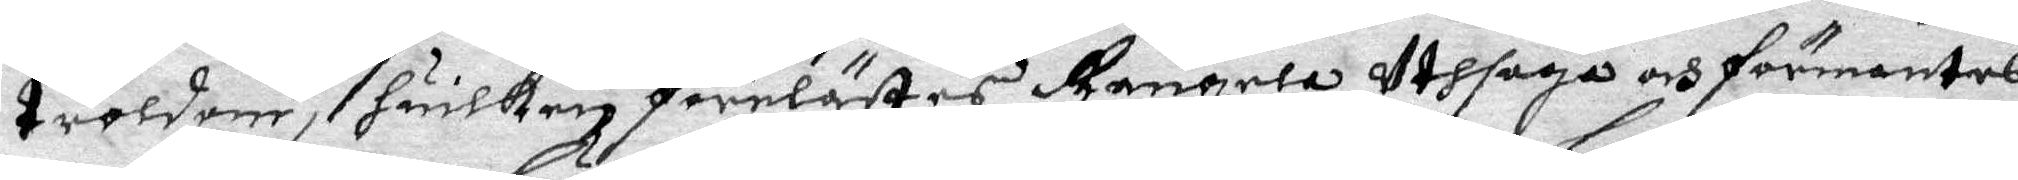troldom, huilken förelästes Rangela uthsaga och förmantes
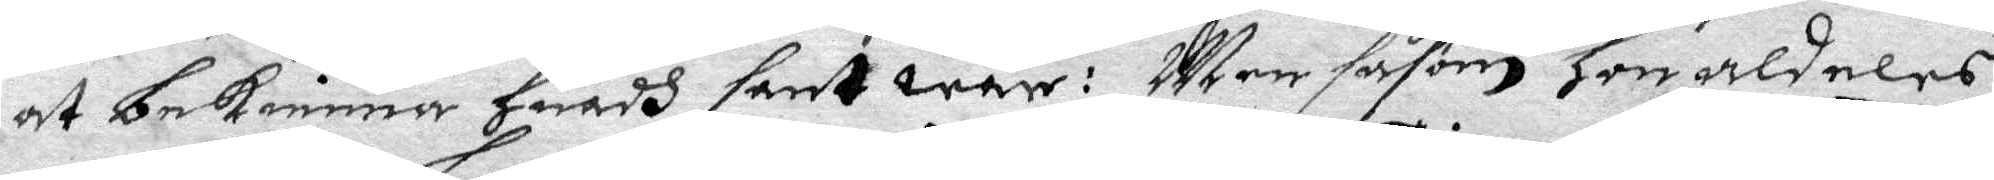at bekienna huadh sant ware: Men såsom hon aldeles
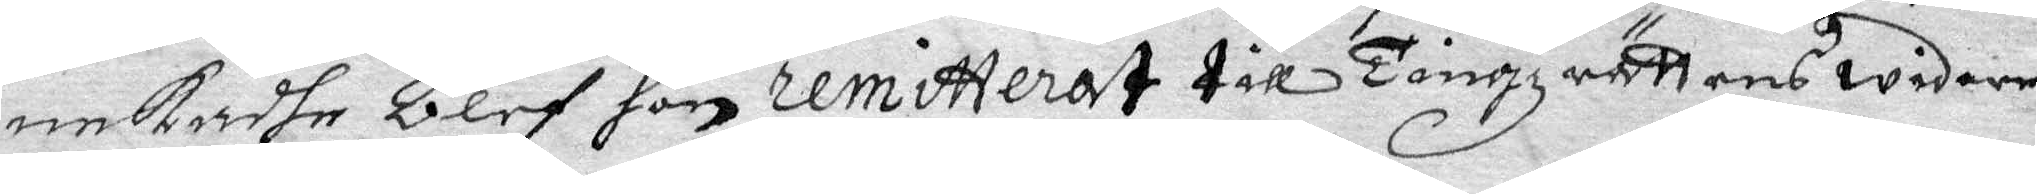nekadhe blef hon remitterat till Tingz rättens widare
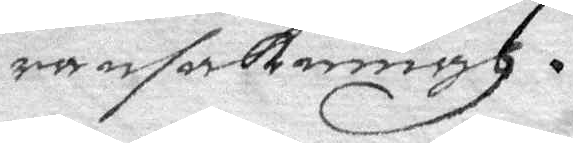ransakningh.
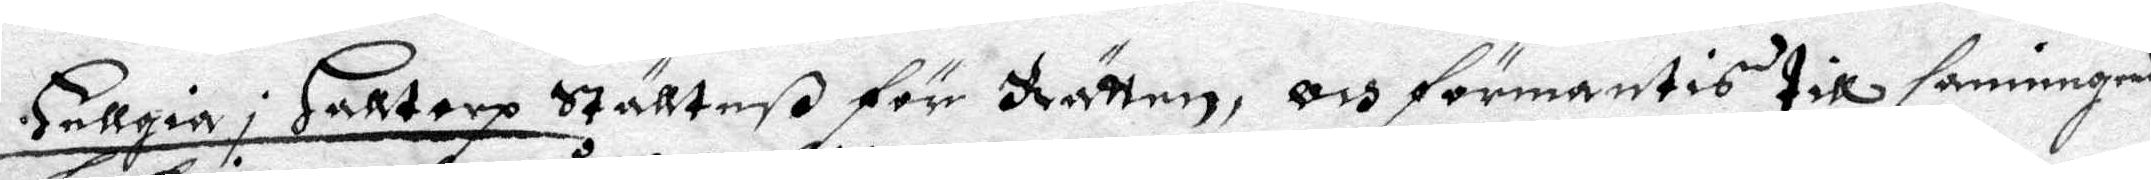Hellgia i Halltorp Stälteß för Rätten, och förmantis till sanninges
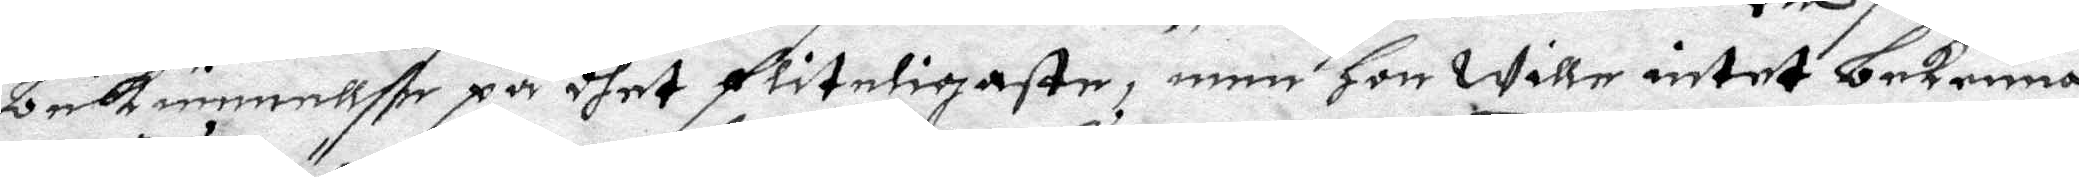bekienellße på dhet fliteligaste, men hon wille intet bekenna
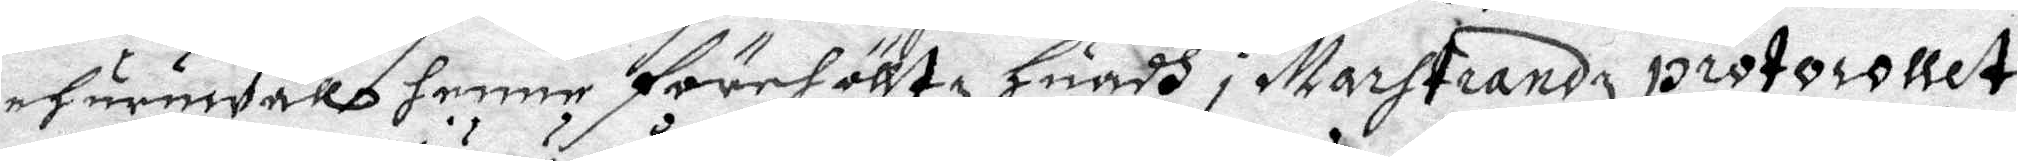ehuruwälls henne förehölltz, Huadh i Marstrandz protocollet
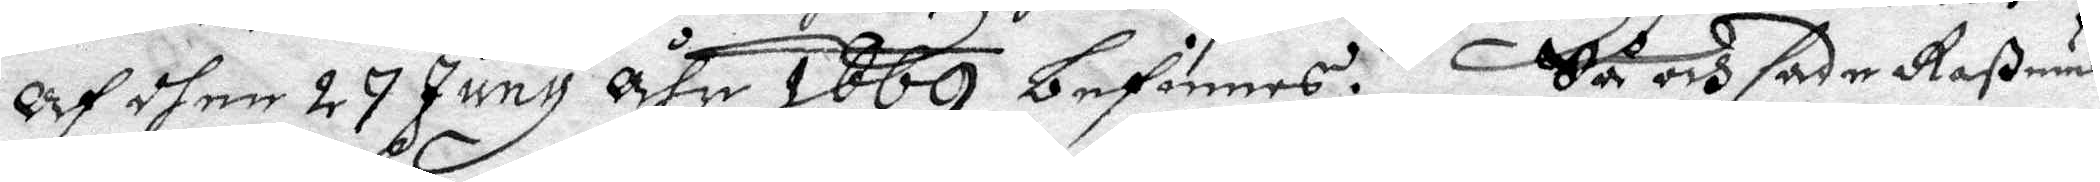Af dhen 27 Juny åhr 1669 befinnes. Så och sada Raßmus
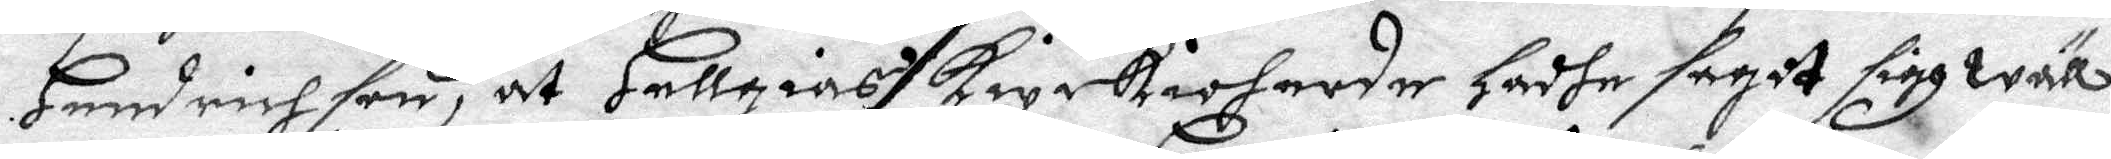Hindrich son, at Hellgias Kyrkioherde hadhe sagdt sigh wäll
